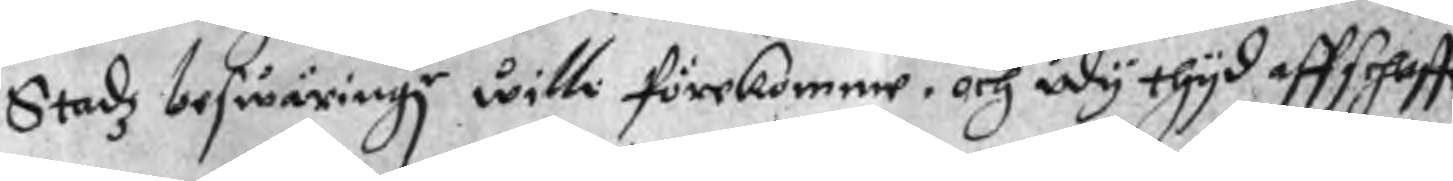Stadz beswäringr wille förekomme, och udy thyd affschaffe
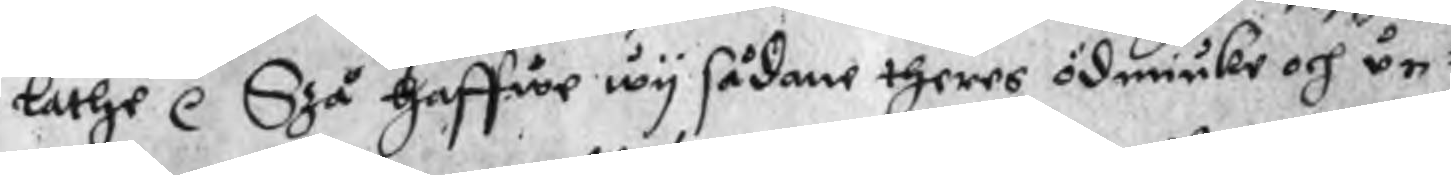lathe r Szå haffwe wy sådane theres ödmiuke och un¬
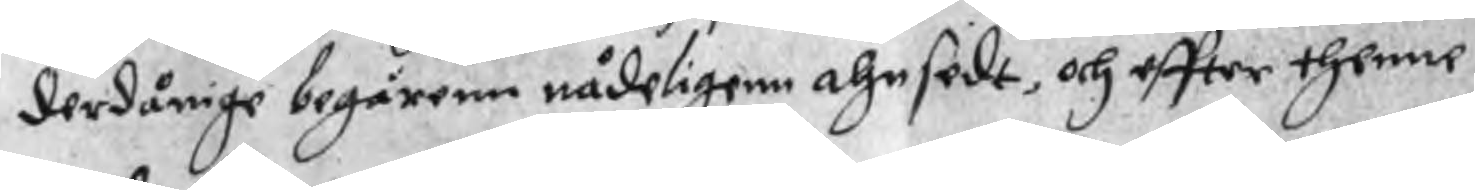derdånige begärenn nådeligenn ahnsedt, och effter thenne
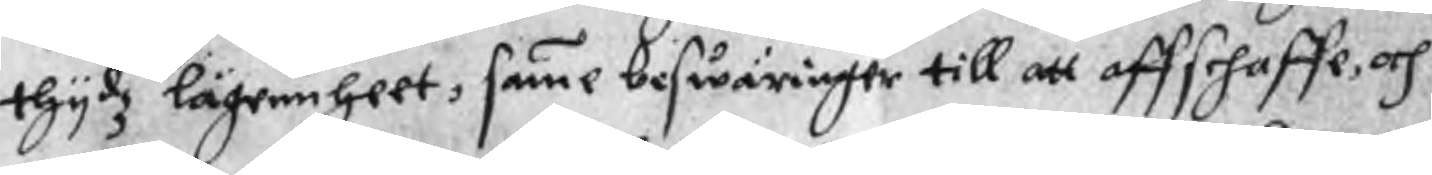thydz lägennheet, samme beswäringer till att affschaffe, och
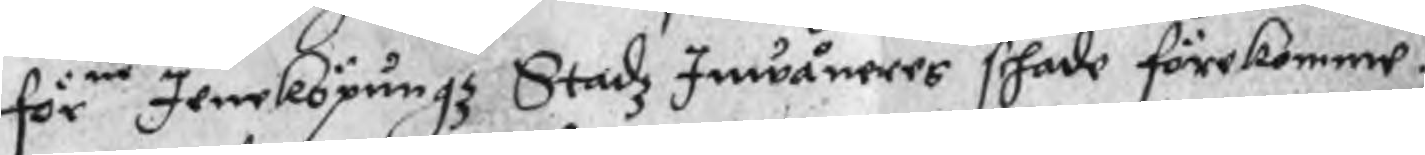förne Jeneköpungz Stadz Inwåneres schade förekomme.
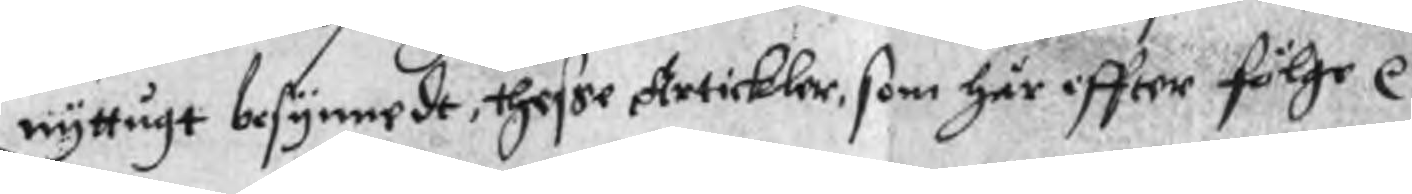nyttugt besynnedt, thesse Artickler, som Här effter fölge r
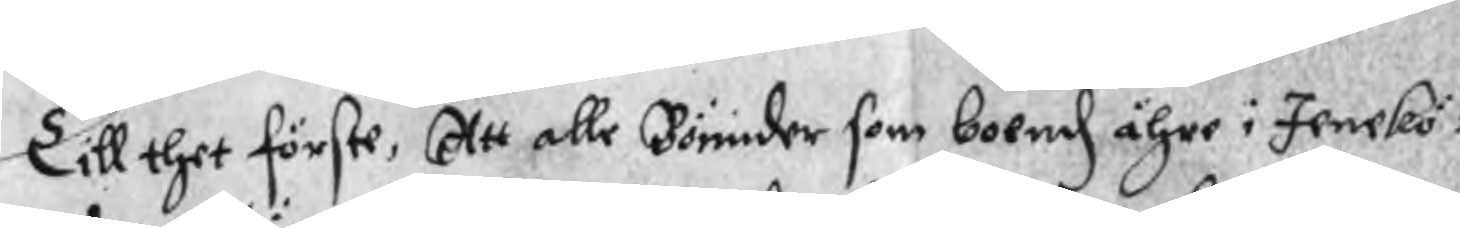Till thet förste, Att alle Bönnder som boendz ähre i Jenekö¬
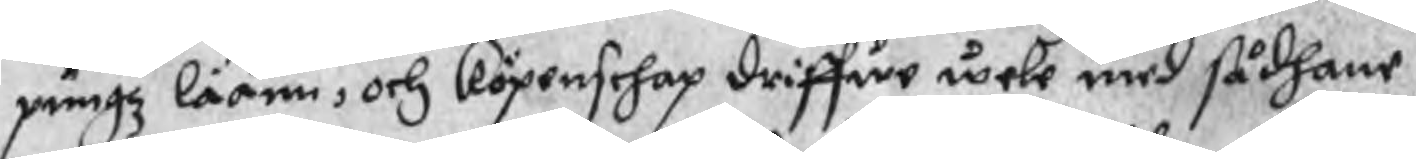pungz läänn, och köpenschap driffwe wele med sådhane
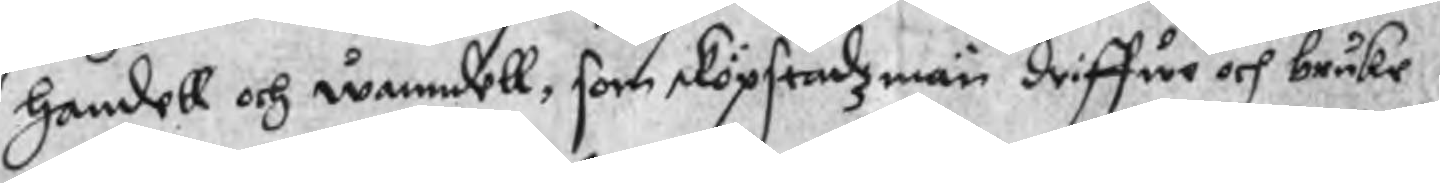Handell och wanndell, som sköpstadzmän driffue och bruke
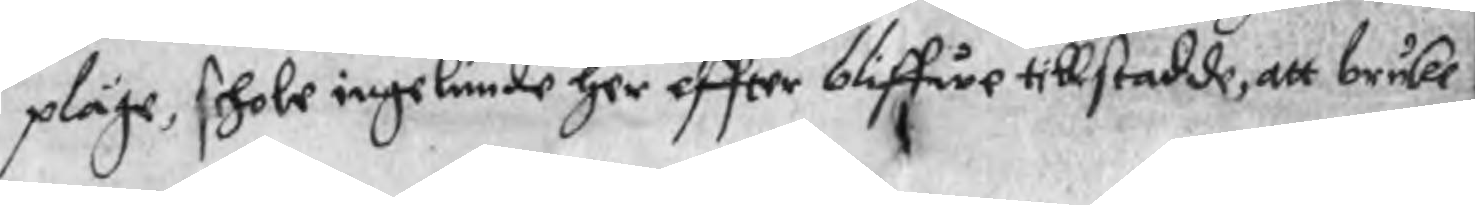pläge, schole ingelunde her effter bliffwe tillstadde, att bruke
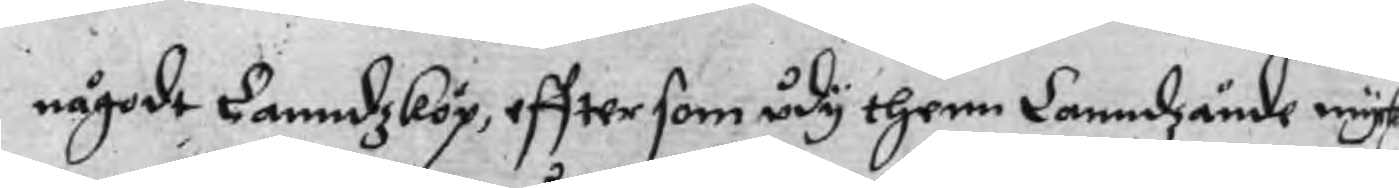någodt Lanndzköp, effter som udy thenn Lanndzände myck
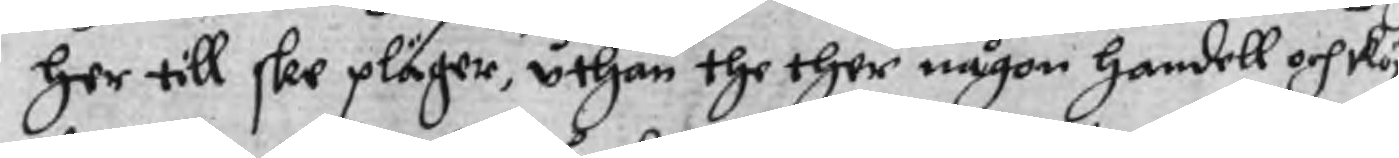her till skee pläger, uthan the ther någon handell och köp
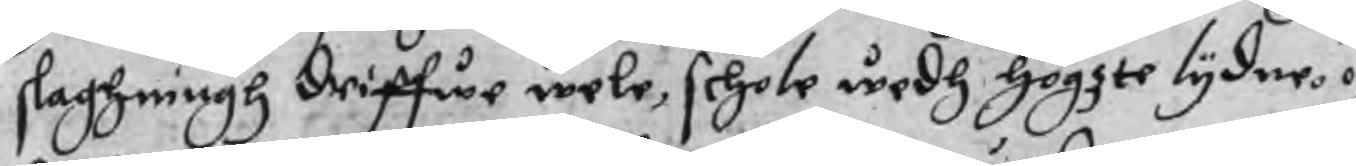slaghningh driffwe wele, schole wedh högzte lydne. och
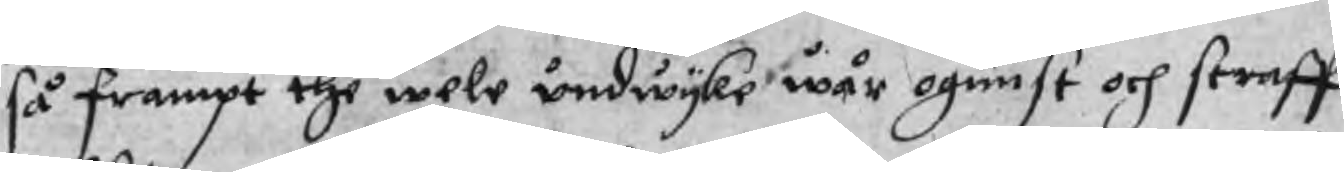så frampt the wele undwyke wår ogunst och straff,
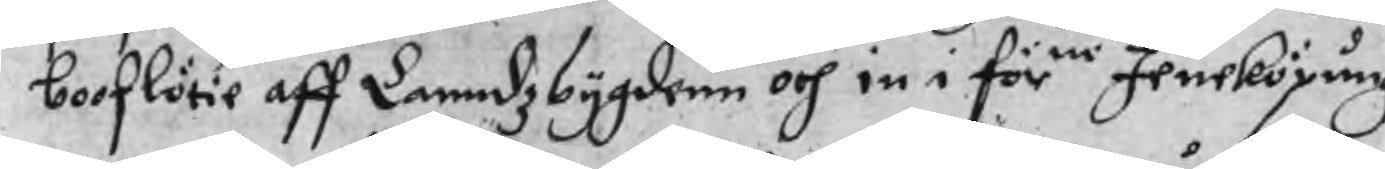borflötie aff Lanndzbygdenn och in i förne Jeneköpungz
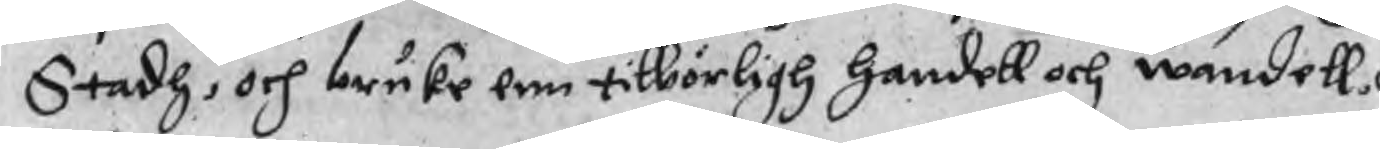Stadh, och bruke enn tilbörligh handell och wandell, och
